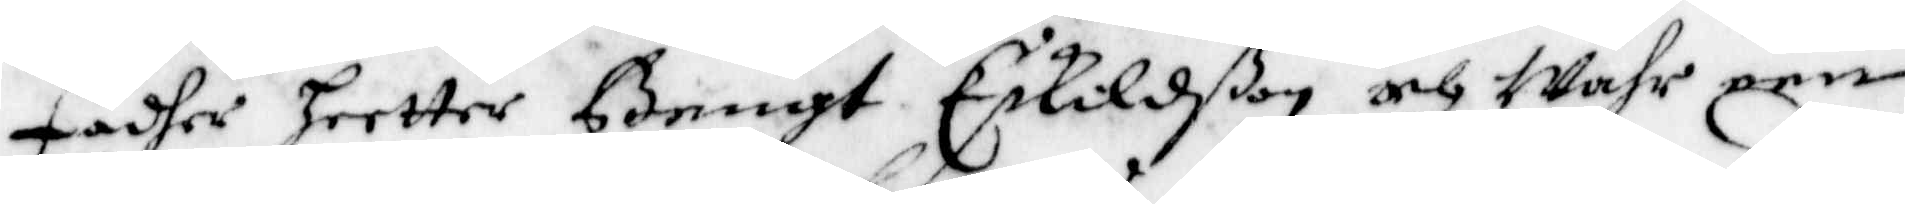Fader heetter Bengt Eskildßon och Wahr een
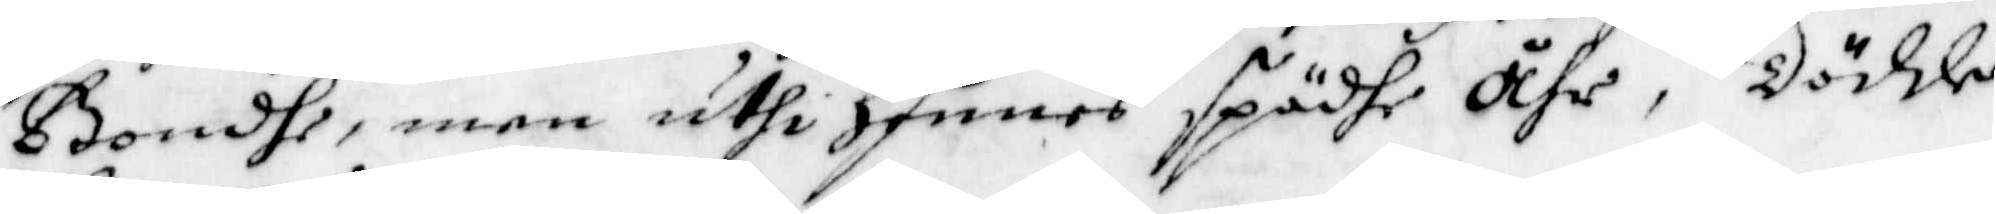Bondhe, men uthi hennes spädhe Åhr, dödde
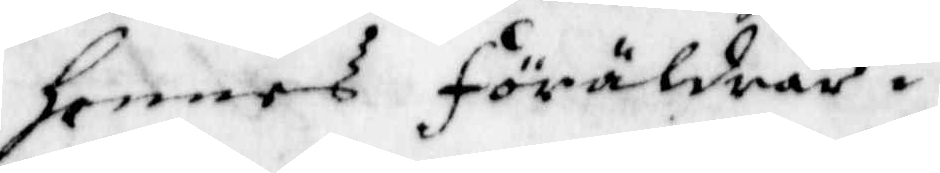hennes Föräldrar.
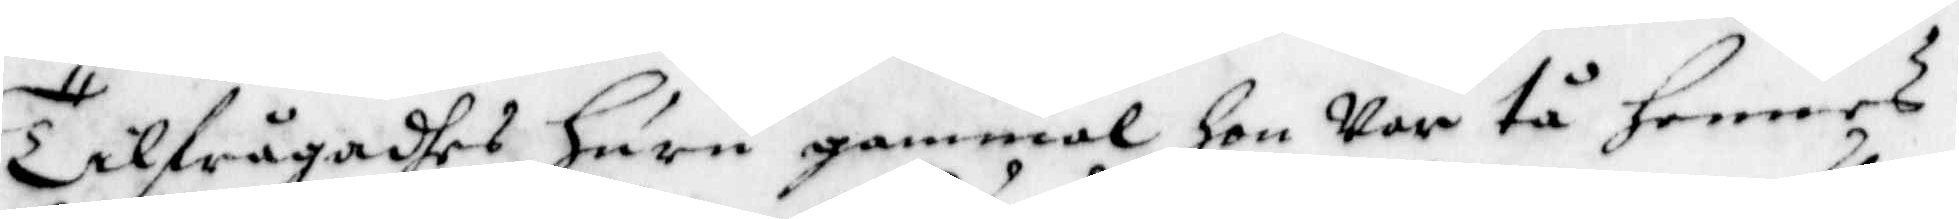Tilfrågadhes huru gammal hon Var tå hennes
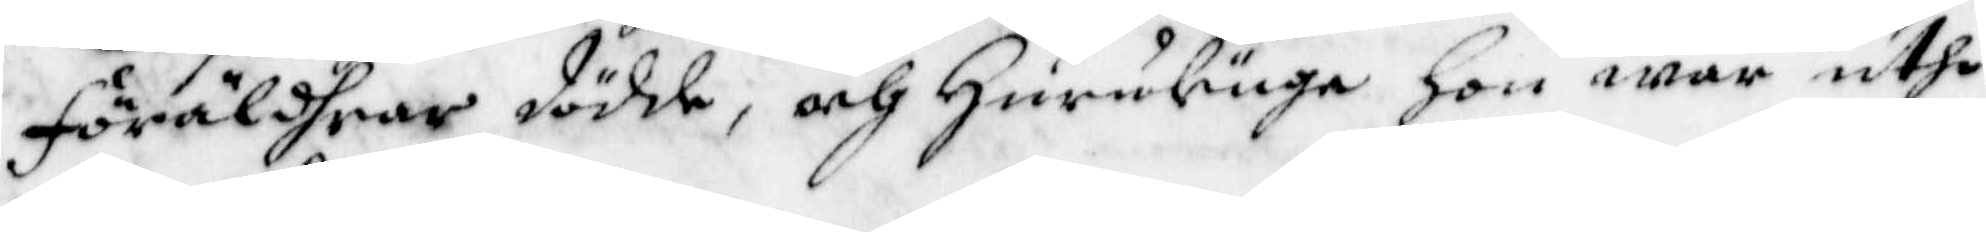Föräldrar dödde, och Hurulänge Hon war uthi
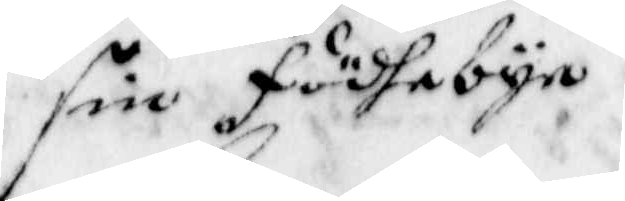sin födhebyn.
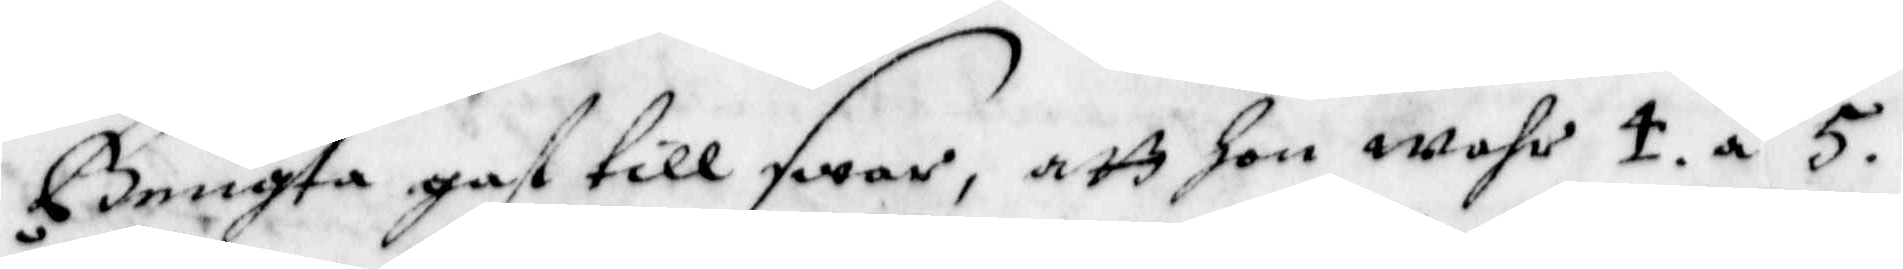Bengta gaf till swar, att hon wahr 4. a 5.
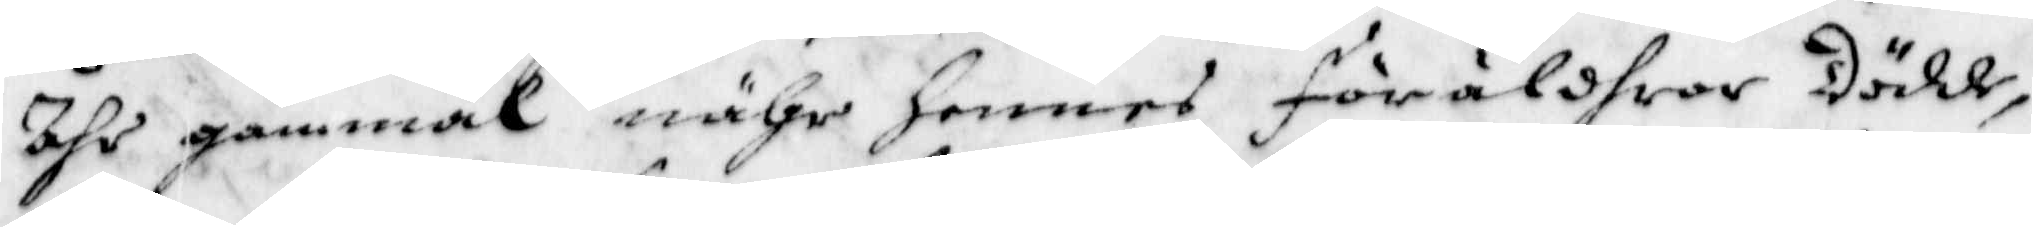Åhr gammal nähr Hennes föräldrar dödde,
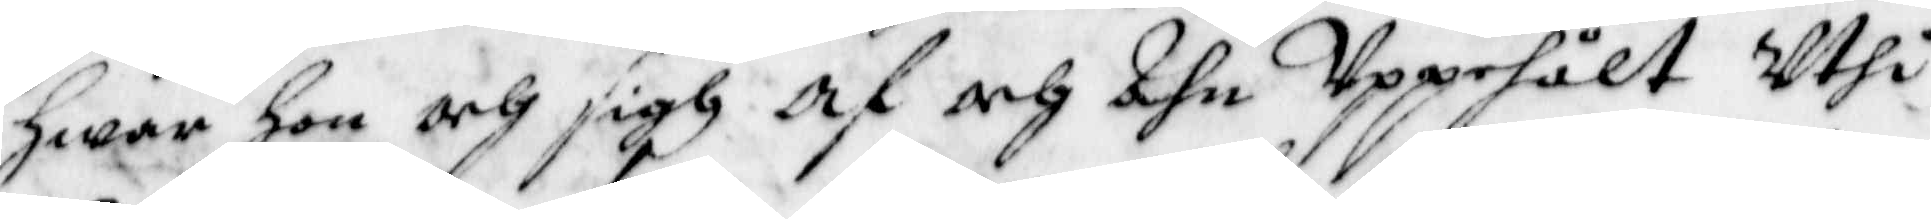Hwar hon och sigh af och Ahn Uppehålt Uthi
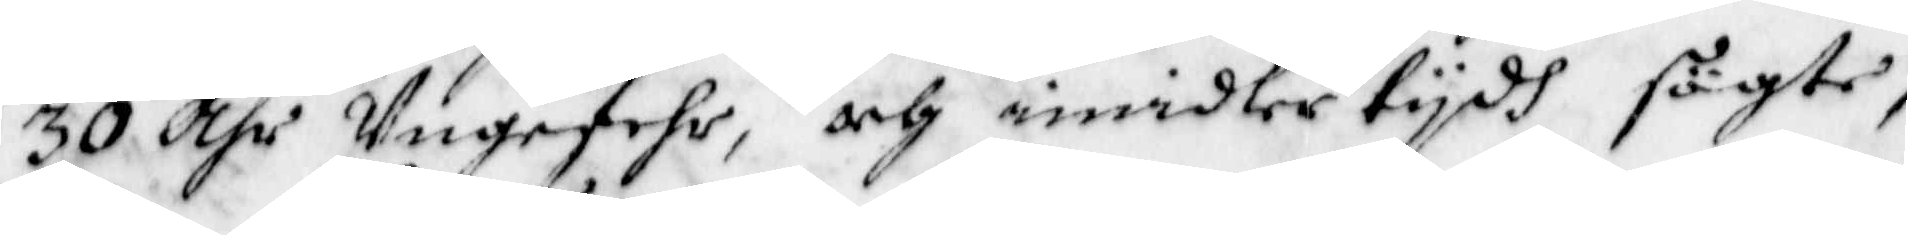30 åhr Ungefehr, och imedlertydh sögte,
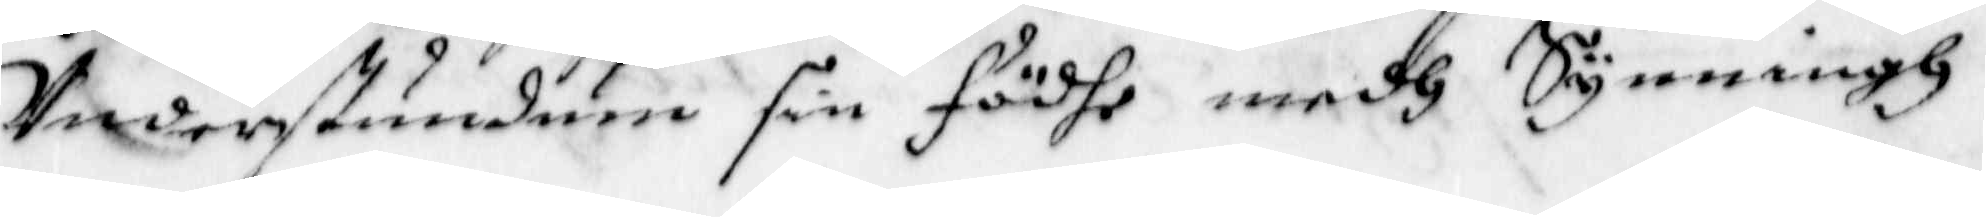Understundom sin födhe medh Synningh
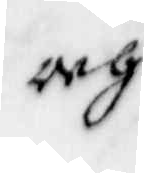och
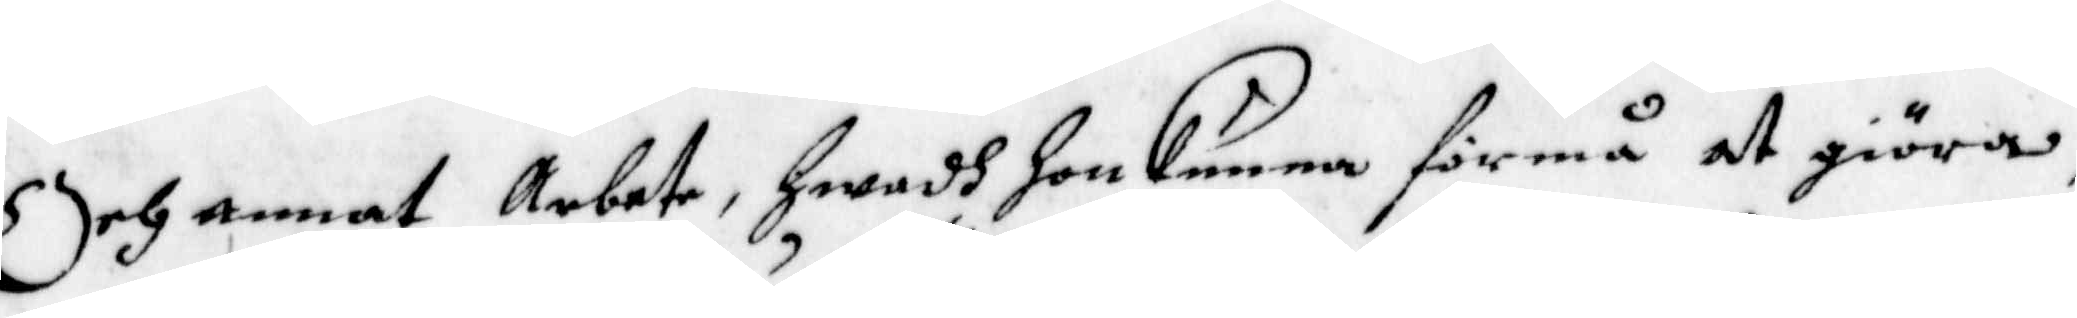Och annat Arbete, Hwadh hon kunna förmå at giöra,
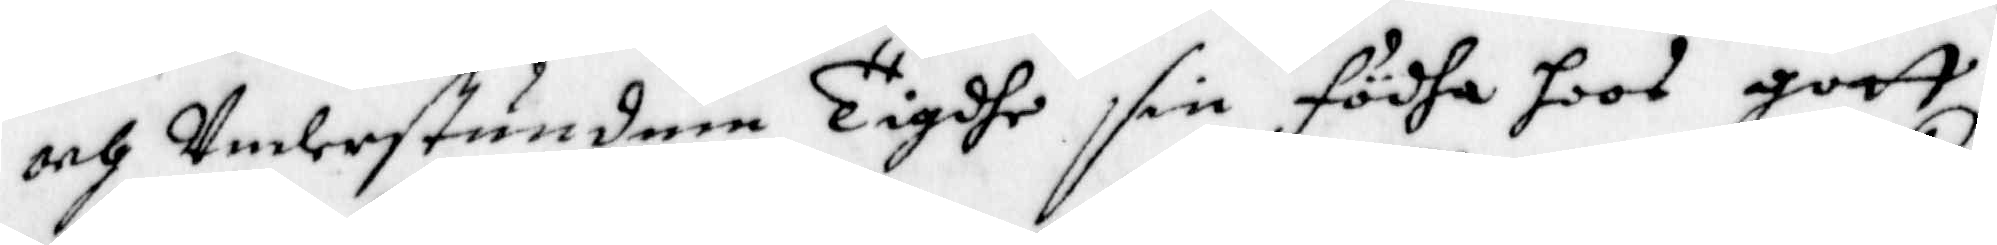och Understunden Tigdhe sin Födha hoos gott
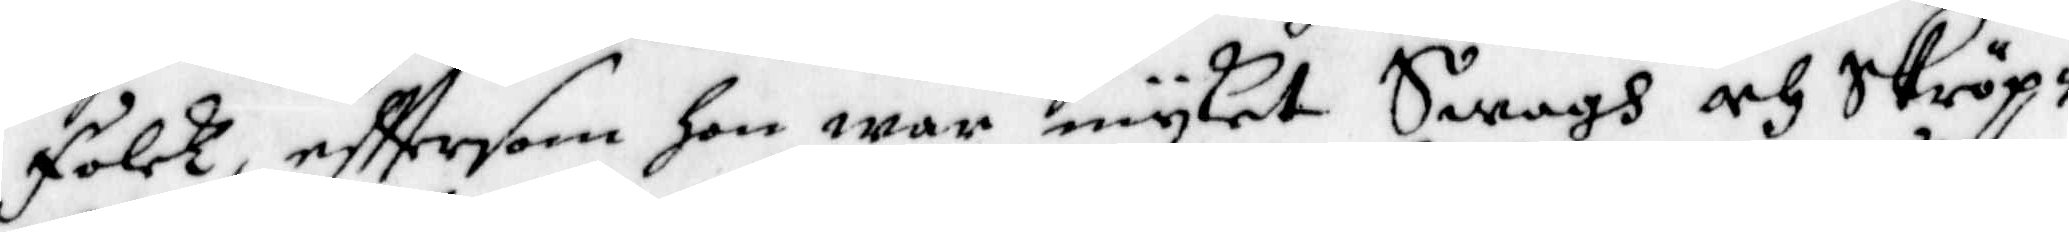Folck, efttersom hon war myket Swagh och Skröp¬
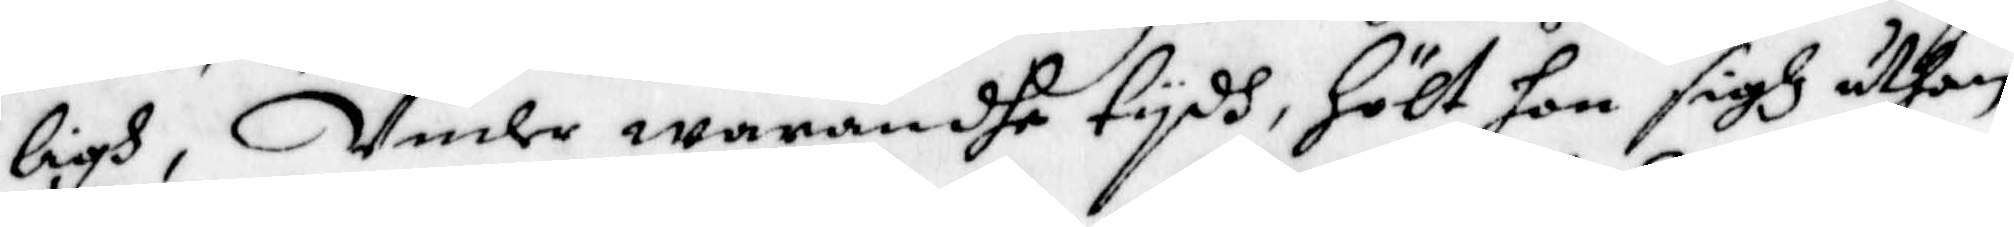ligh, Under warandhe tydh, Hölt hon sigh uthan
